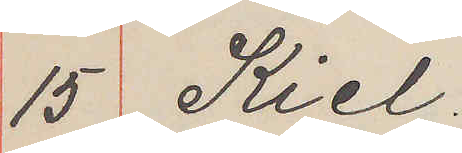15 Kiel.
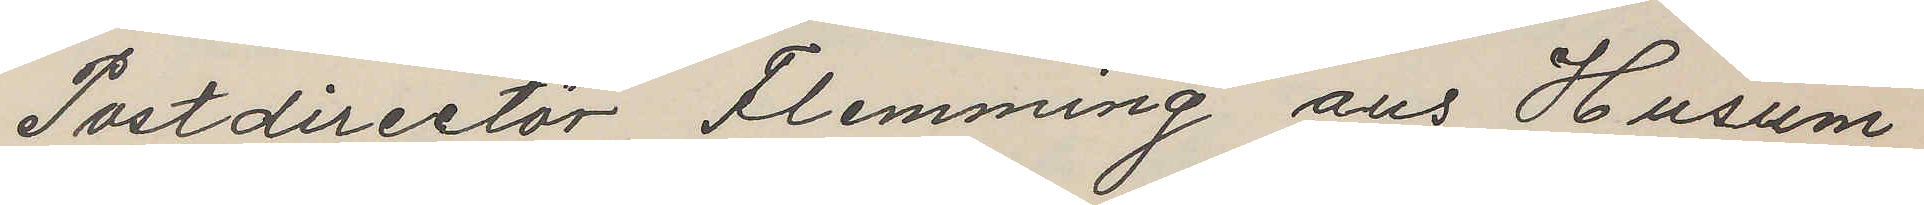Postdirectör Flemming aus Husum
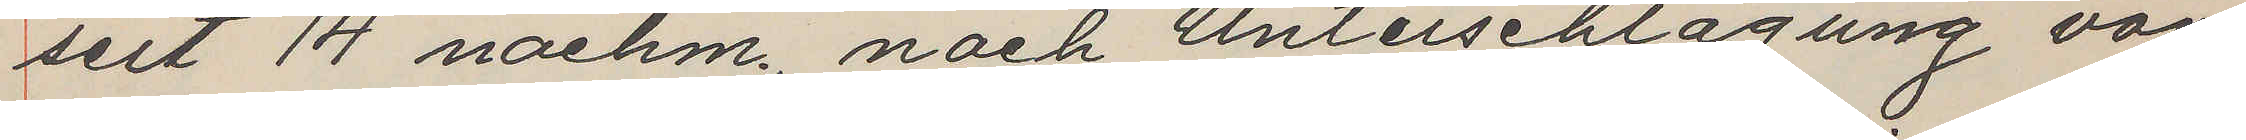seit 14 nachm, nach Unterschlagung von
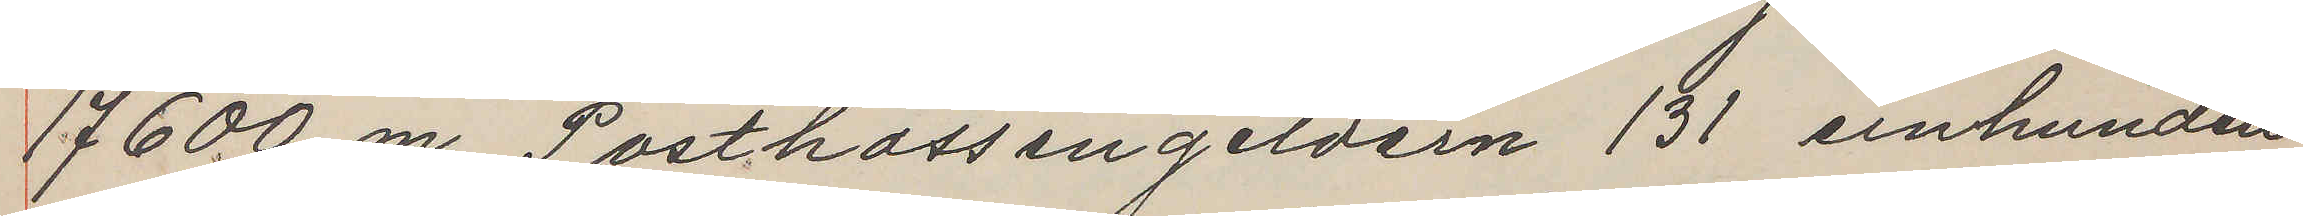17600 m. Postkassengeldern 131 einhundert
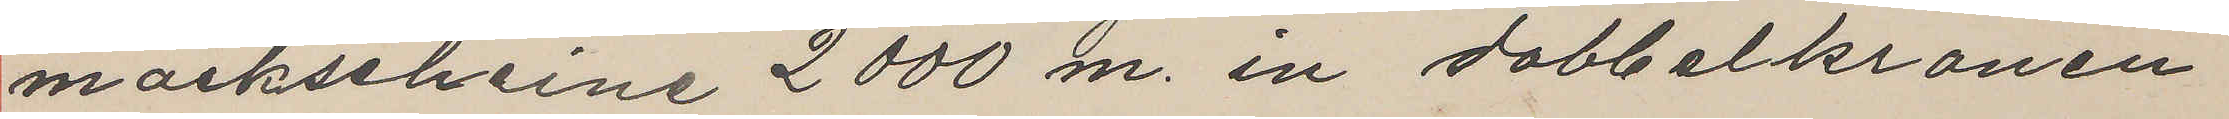markscheine 2000 m. in dobbelkronen
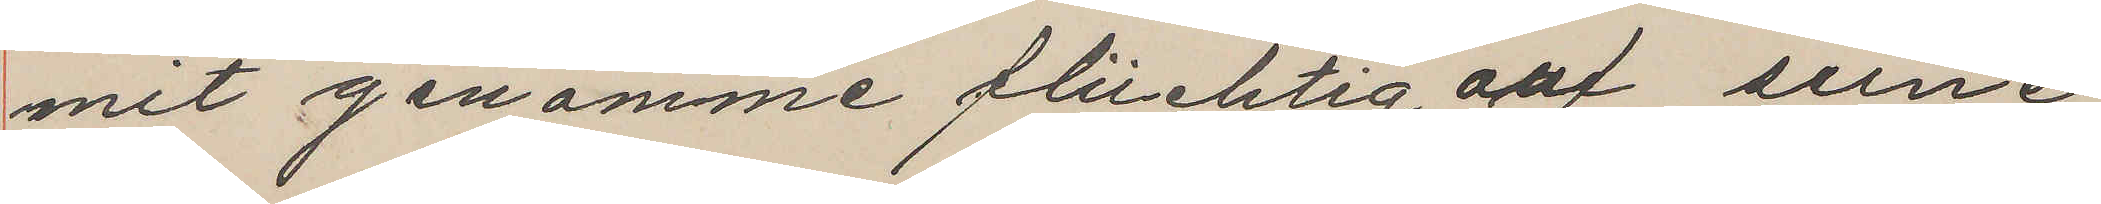mit genomme flüchtig auf seine
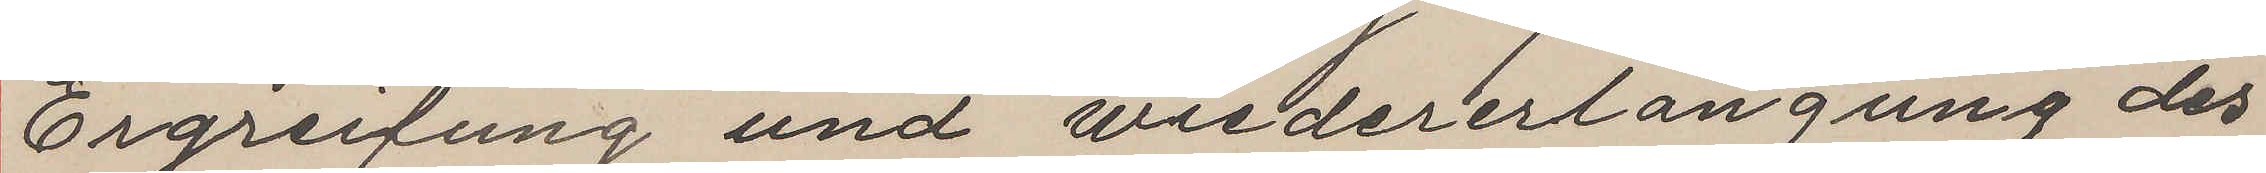Ergreifung und wiedererlangung des
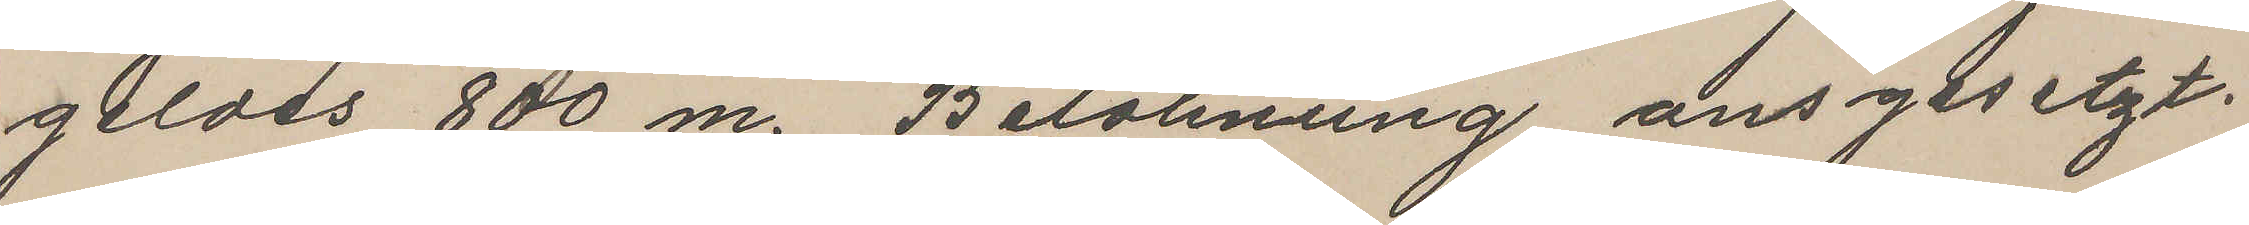geldes 800 m. Belohnung ansgesetzt.
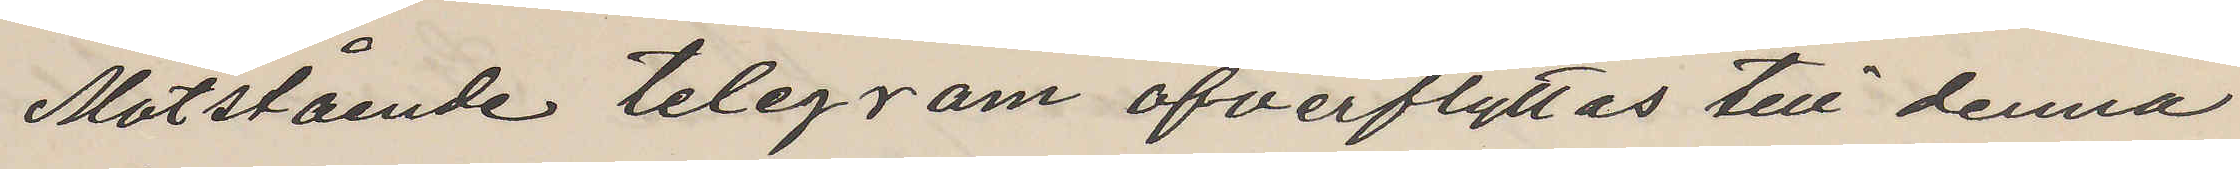Motstående telegram öfverflyttas till denna
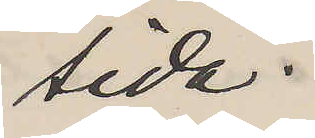sida.
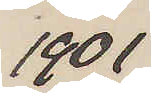1901
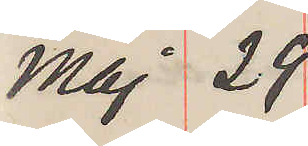Maj 29
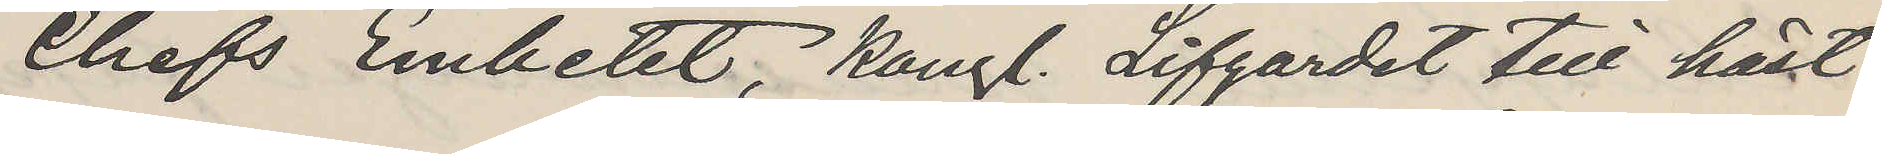Chefs Embetet, Kongl. Lifgardet till häst
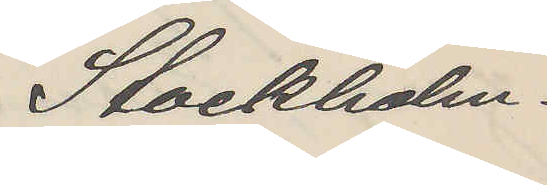Stockholm.
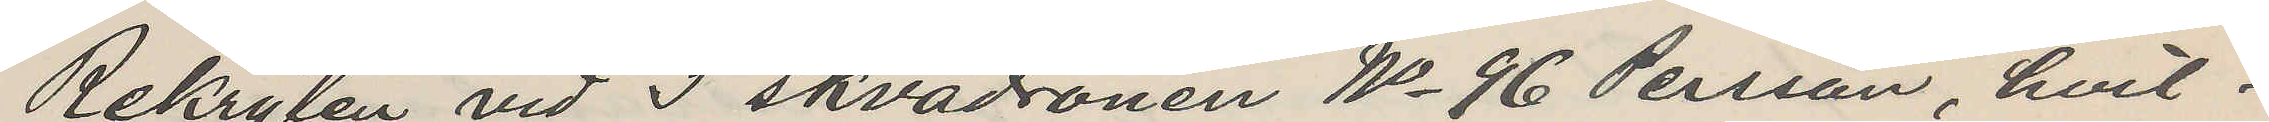Rekryten vid 3 skvadronen No 96 Persson, hvil¬
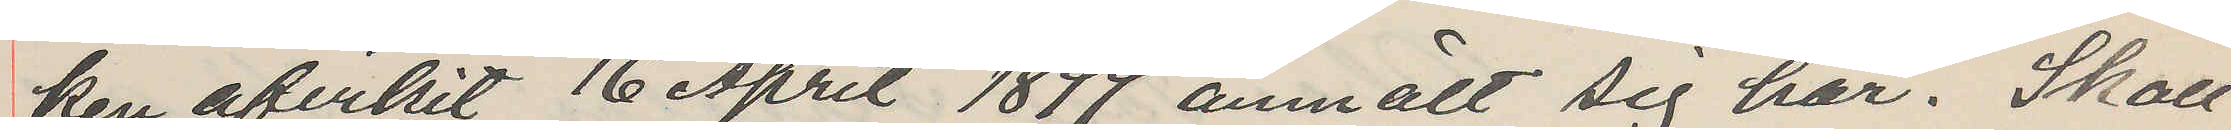ken afvikit 16 April 1899 anmält sig här. Skall
